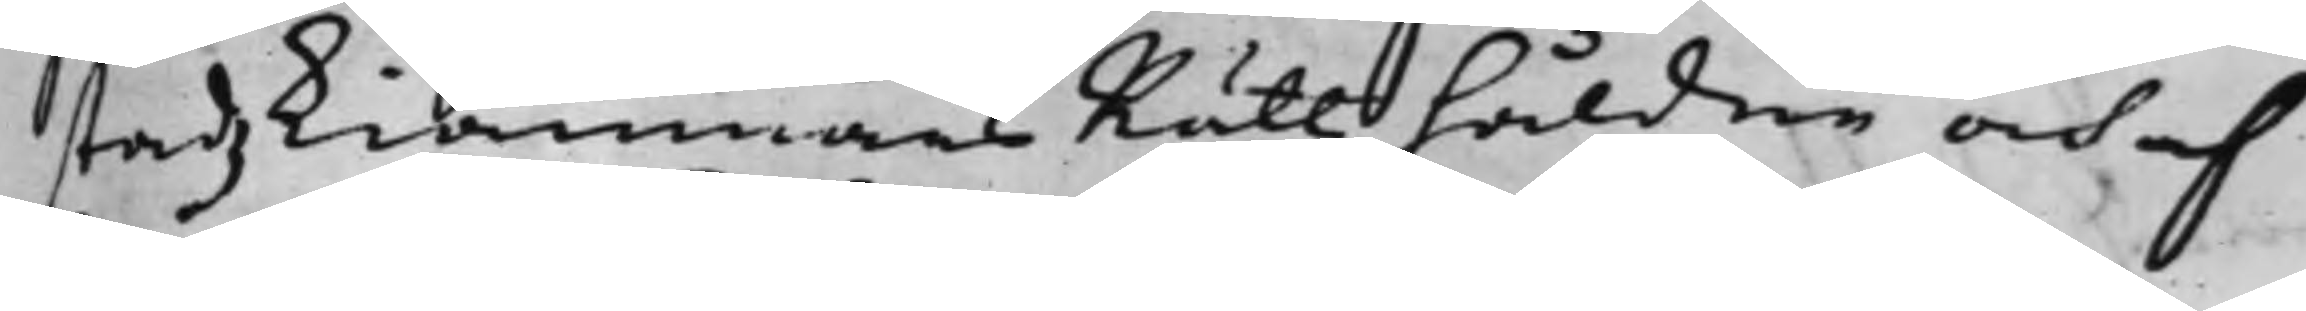stadzKiämnärsRättz håldne och af
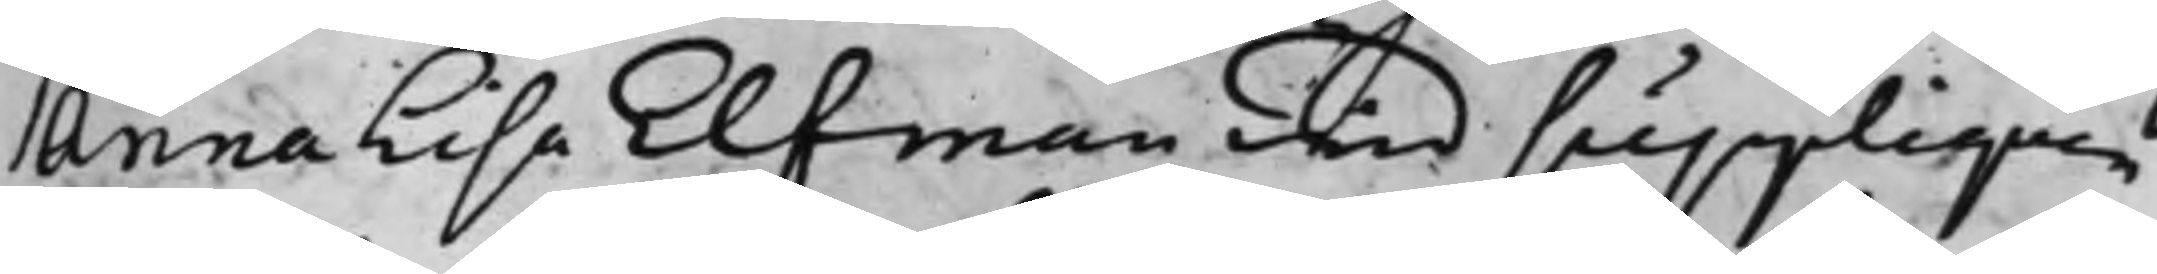Anna Lisa Elfman wid suppliquen
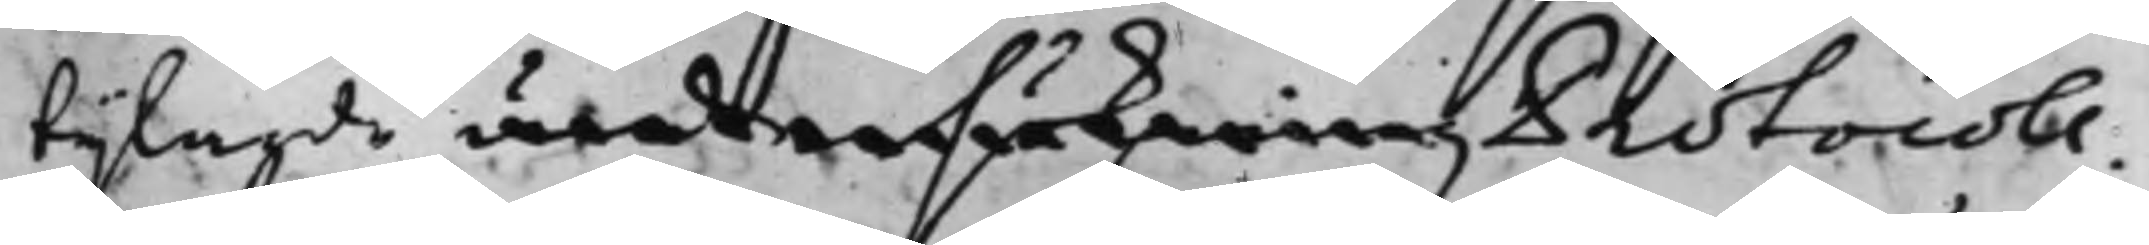bijlagde undersökning Protocoll.
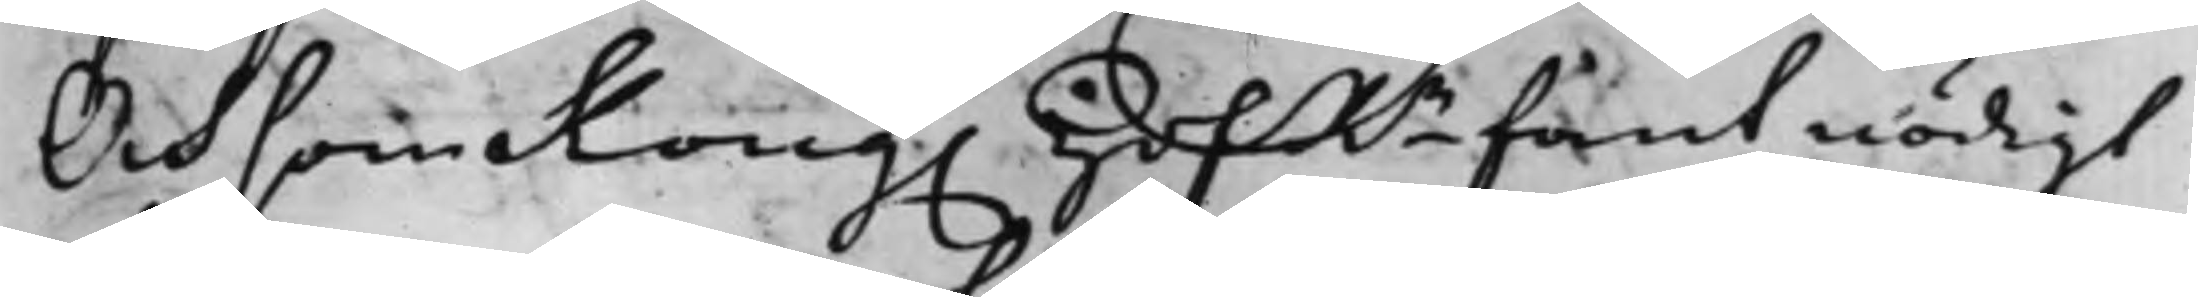Och som Kong. HofRn fant nödigt
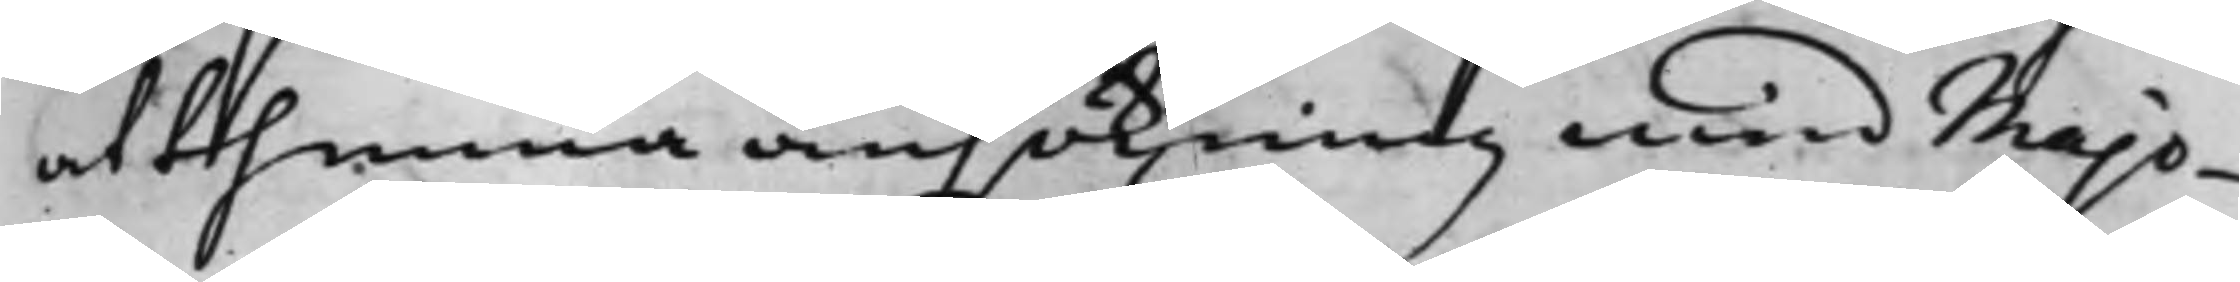at thenna ansökning med Majo¬
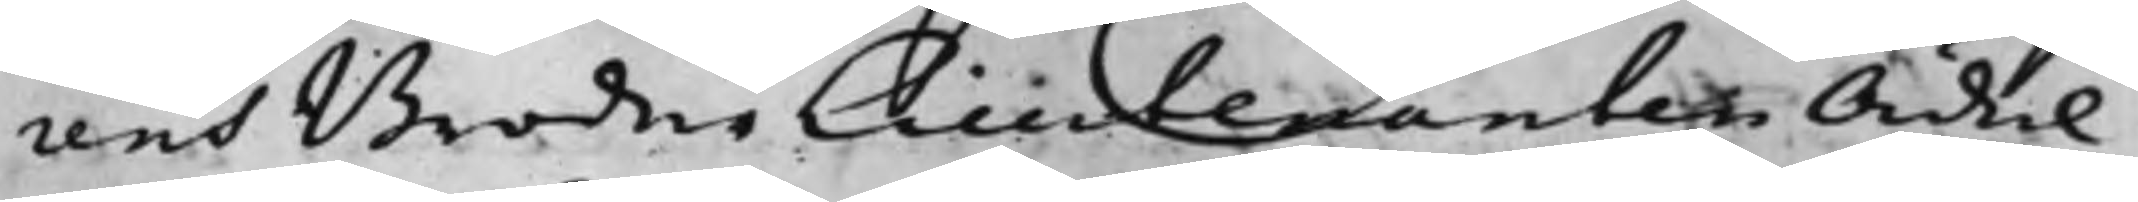rens Broder Lleudenanten Ädel
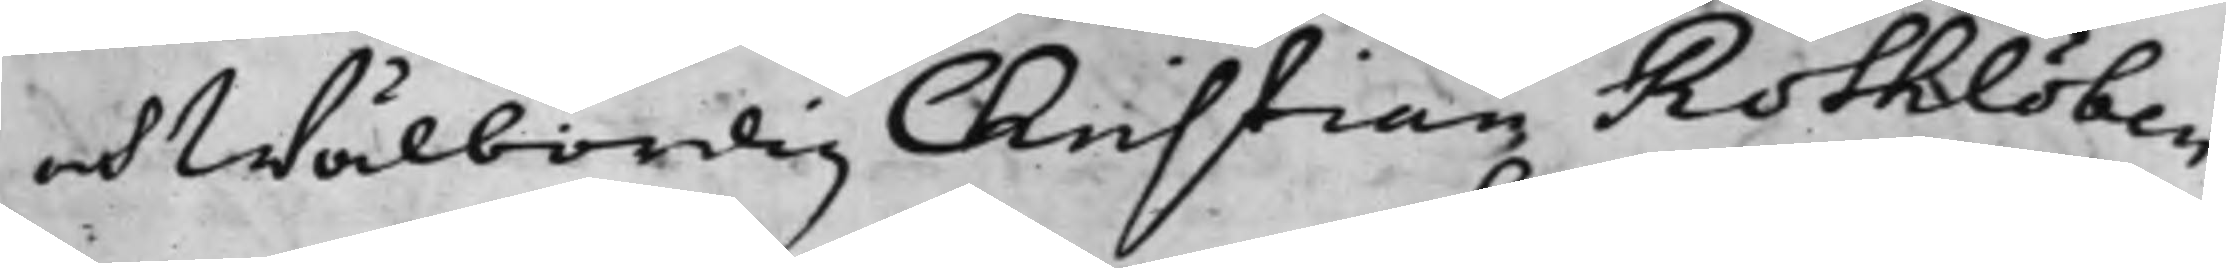och Wälbördig Christian Rothlöben
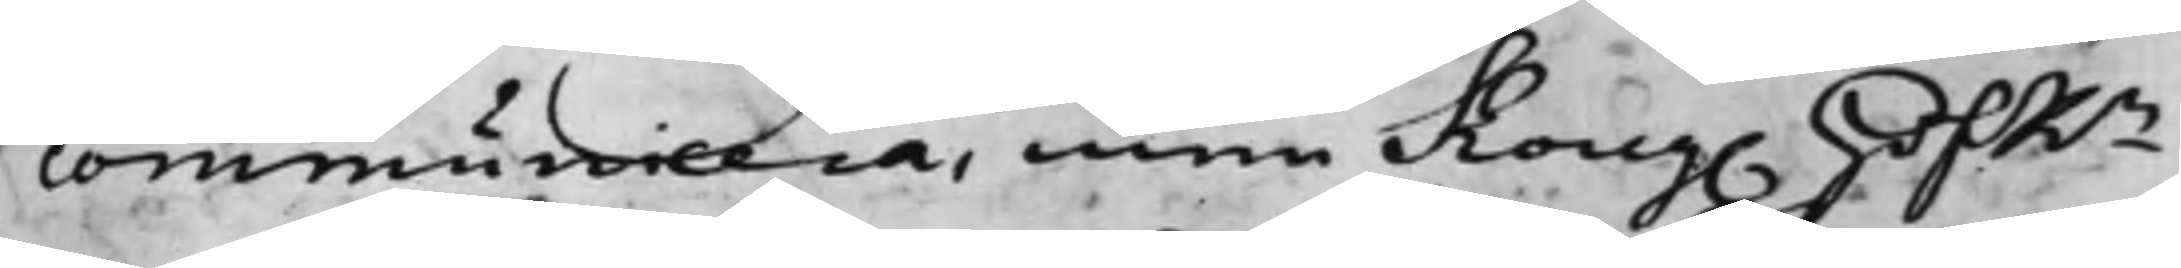communicera, men Kong. HofRn
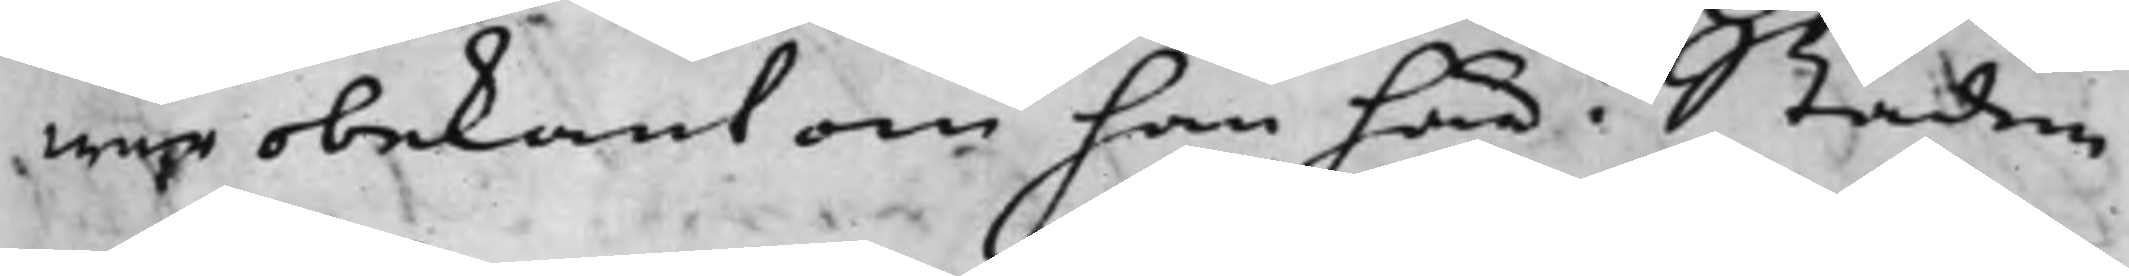war obekant om han här i Staden
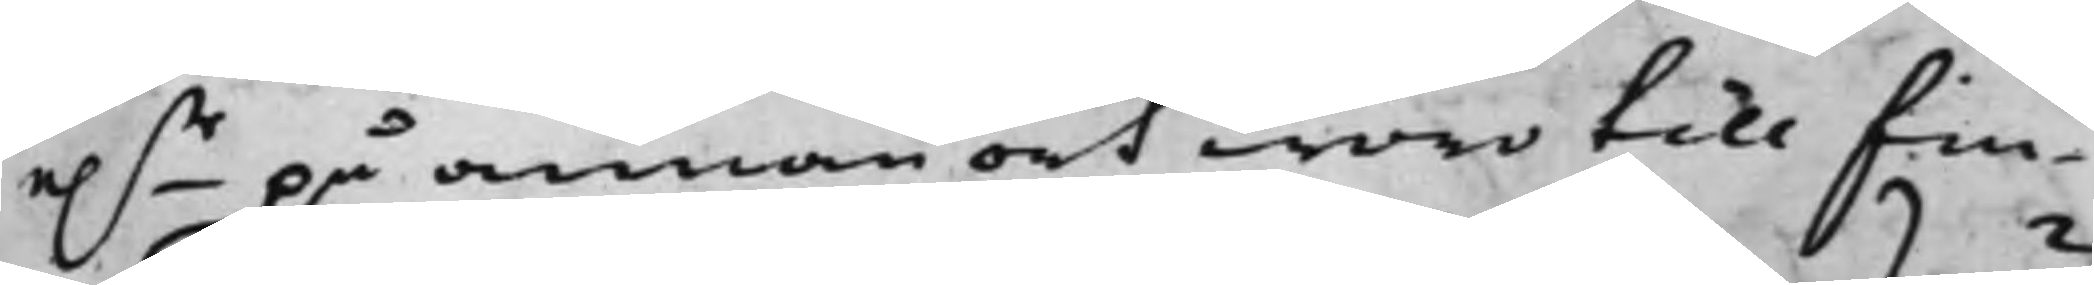e.r på annan ort woro till fin¬
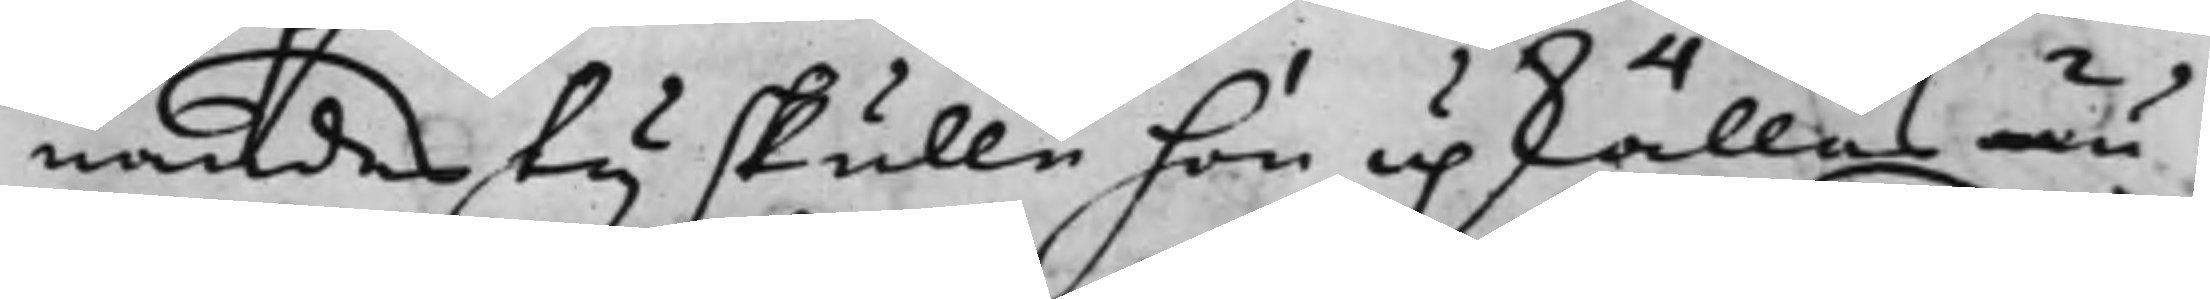nandes ty skulle hon upkällas nu
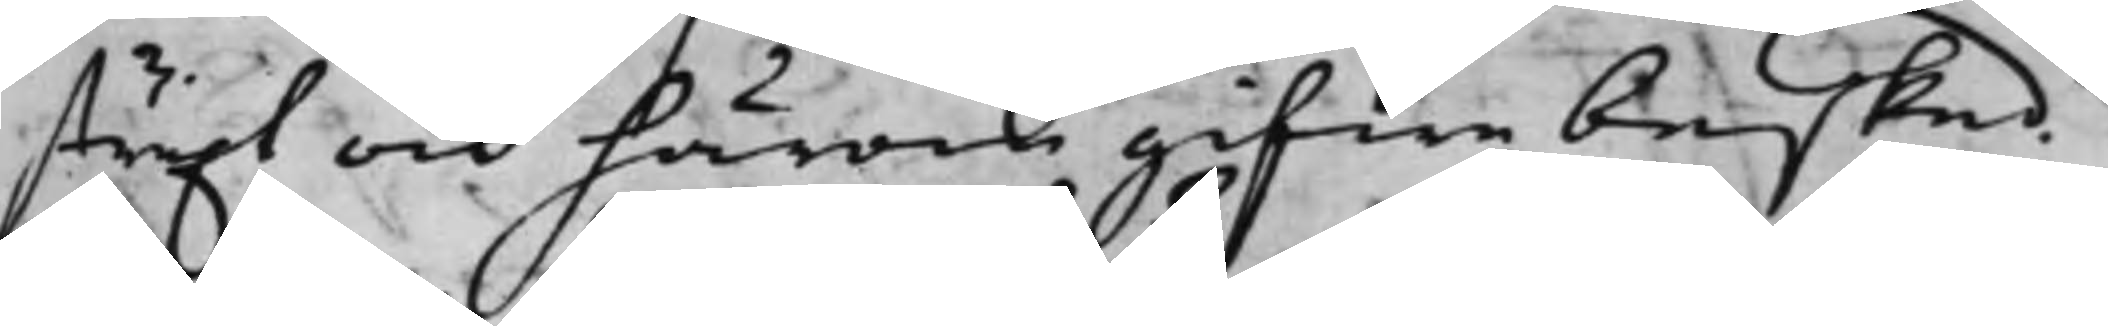straxt och härom gifwe besked.
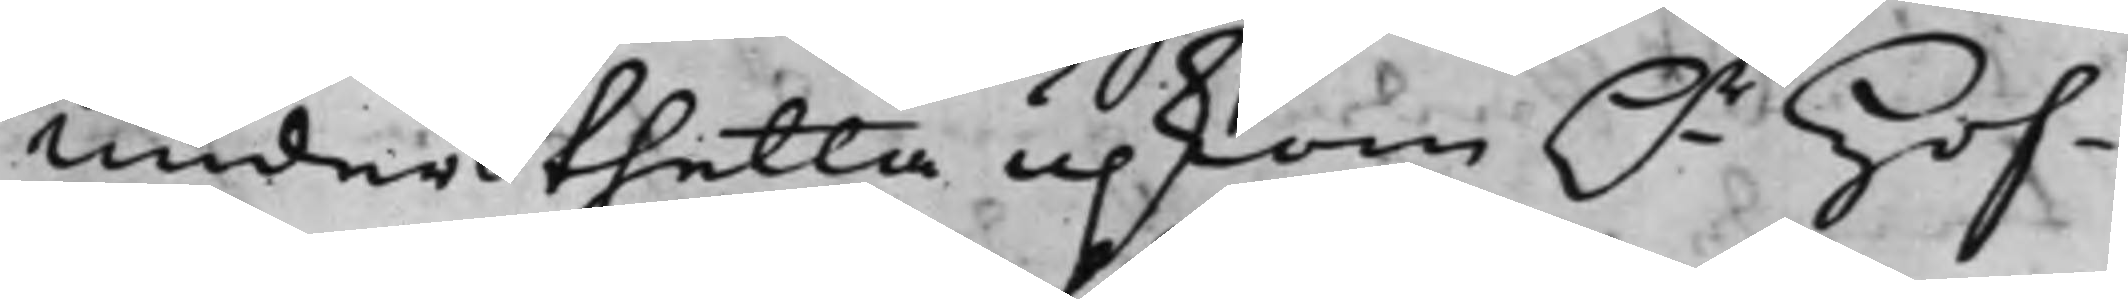under thetta upkom h.r Hof¬
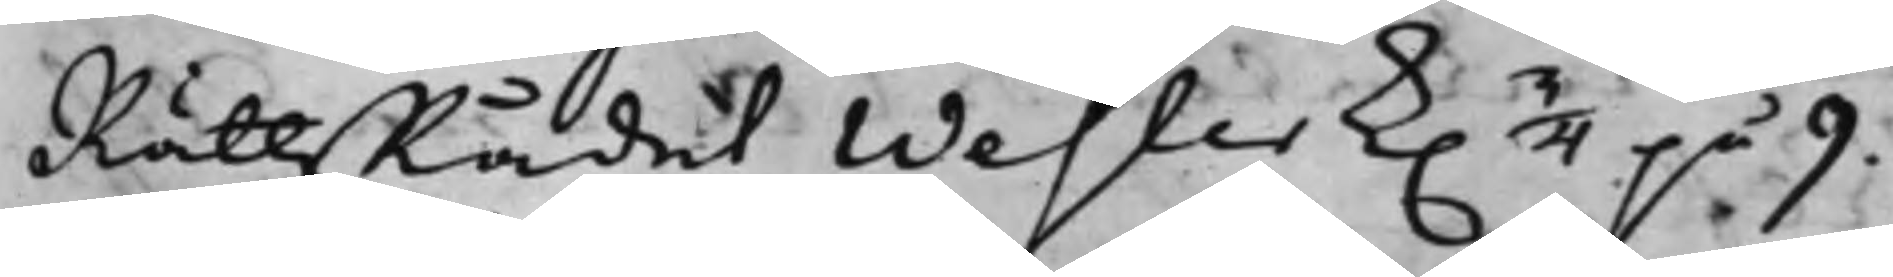RättsRådet Wester k. 3/4 på 9.
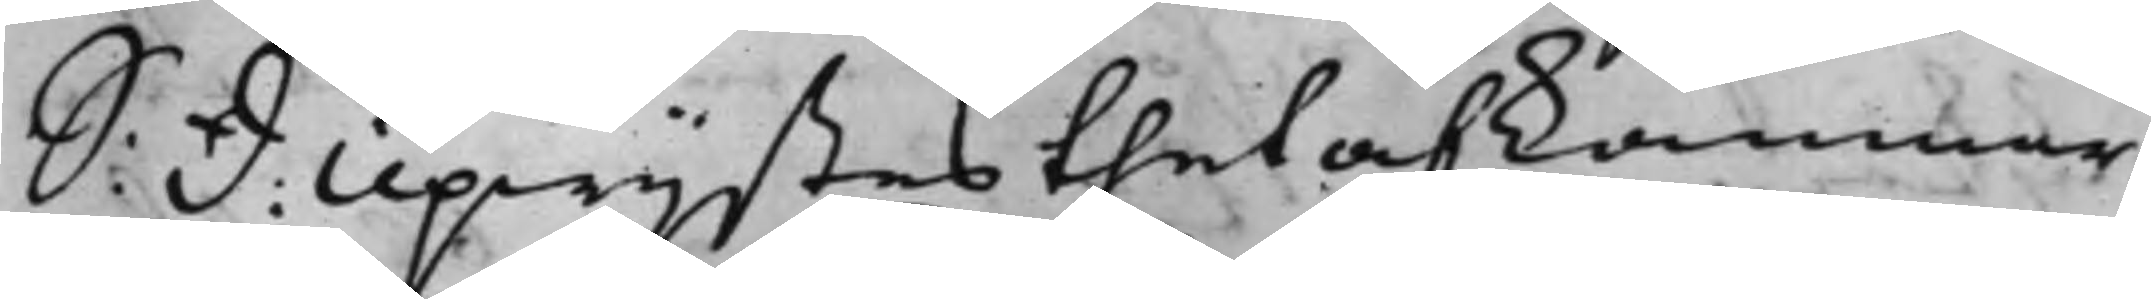S: D: Upwijstes thet af Kammar¬
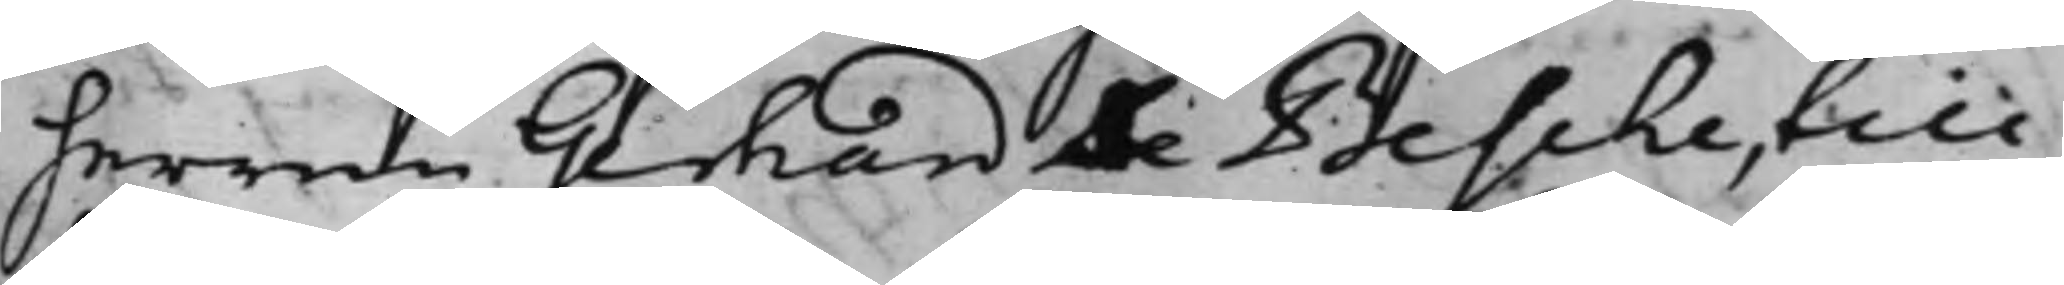herren Gerhard De Besche, till
